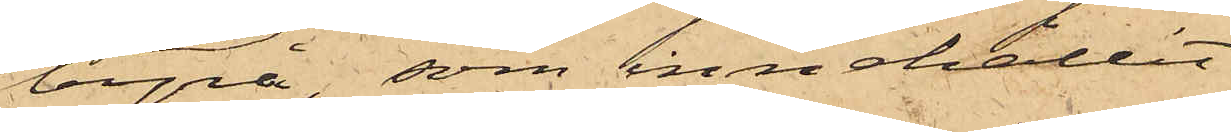byrå, som innehållit
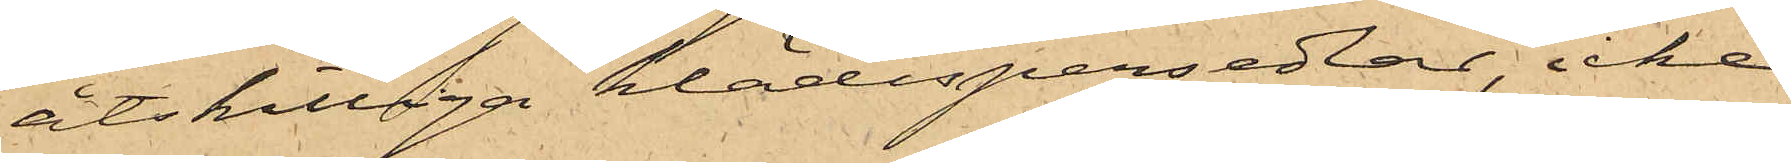åtskilliga klädespersedlar, icke
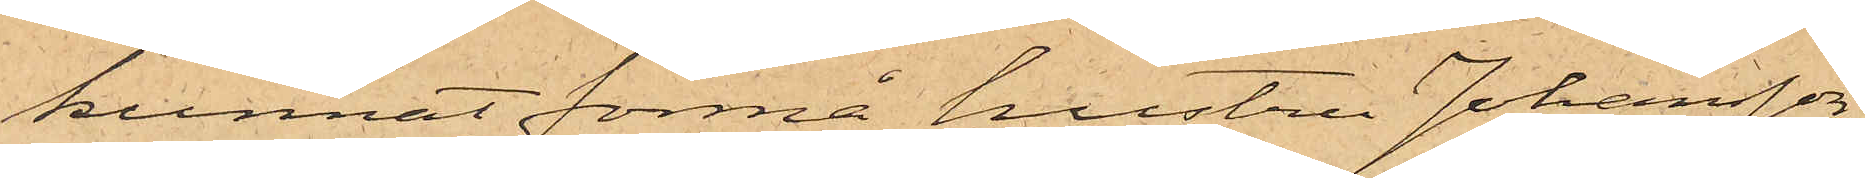kunnat förmå hustru Johansson
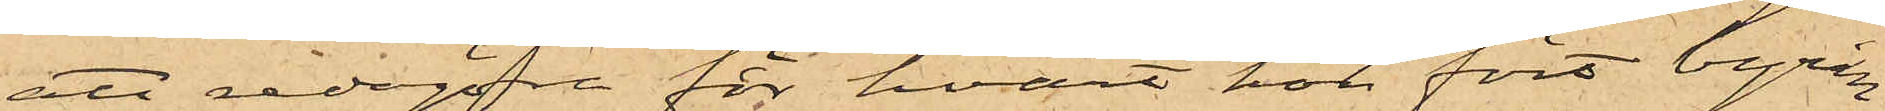att redogöra för hvart hon fört byrån
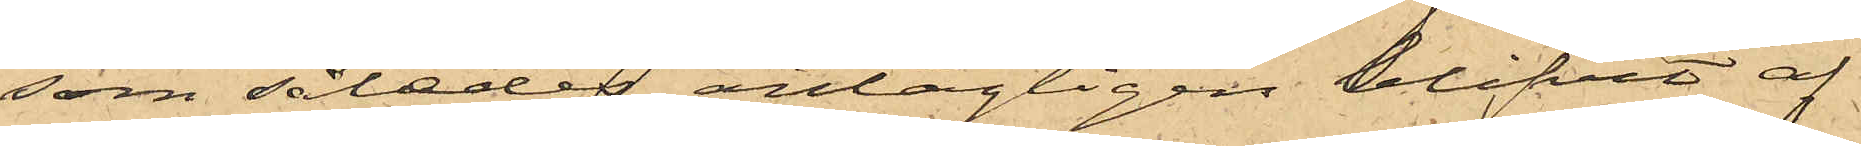som således antagligen blifvit af
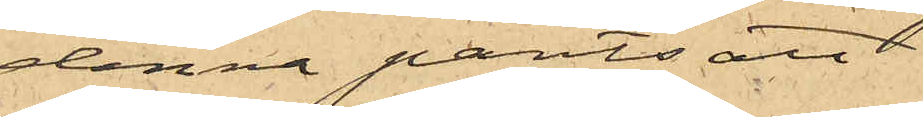denna pantsatt.
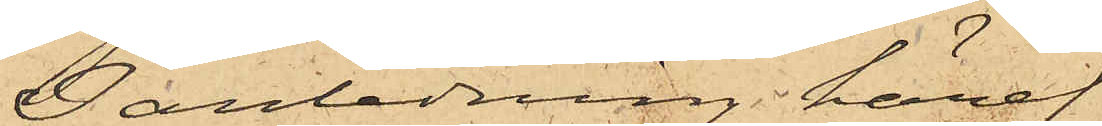I anledning häraf
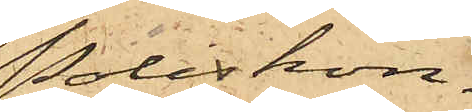Poliskon¬
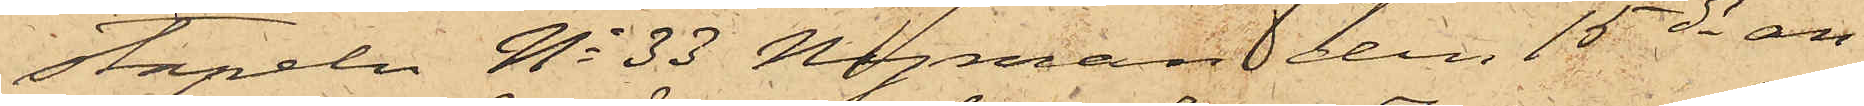stapeln No 33 Nyman den 15 ds an¬
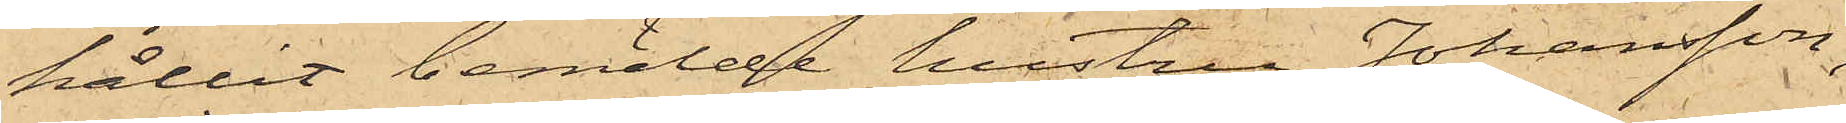hållit bemälde hustru Johansson,
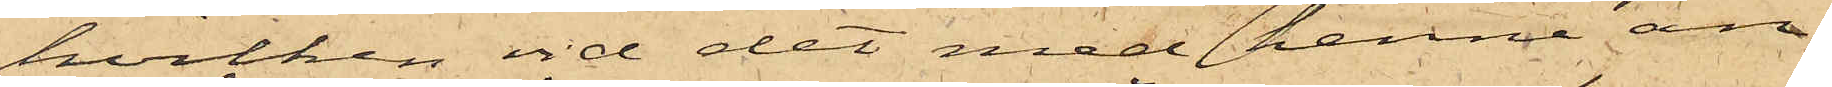hvilken vid det med henne an¬
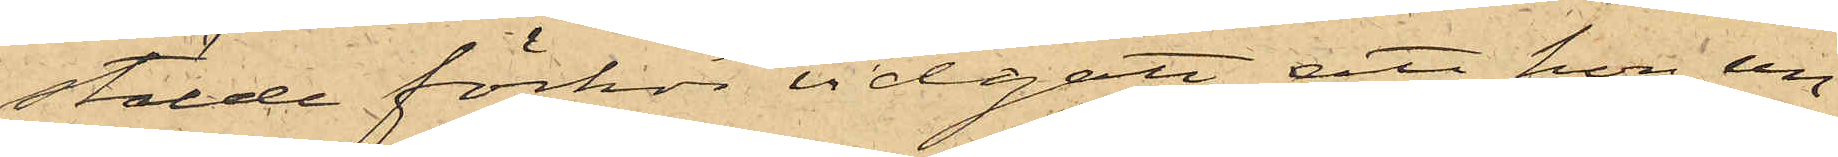stälde förhör vidgått att hon un¬
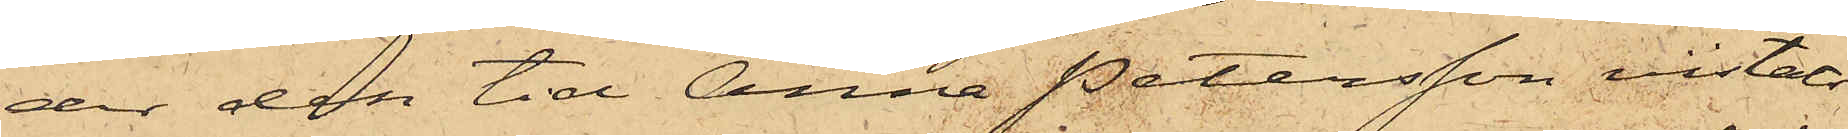der den tid Anna Petersson vistats
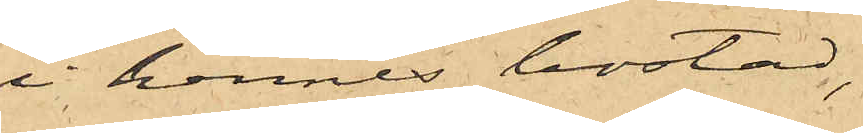i hennes bostad,
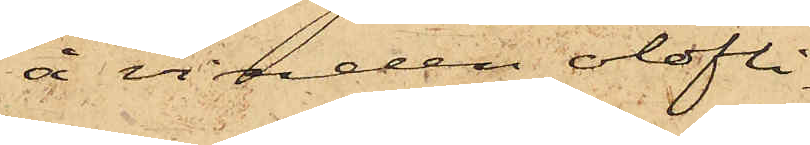å vinden olofli¬
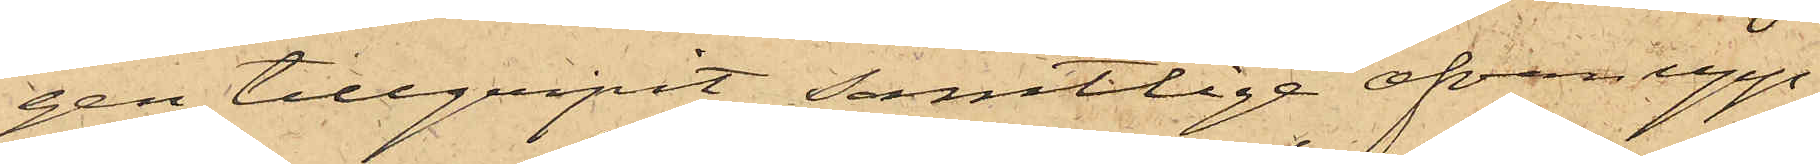gen tillgripit samtlige ofvan upp¬
